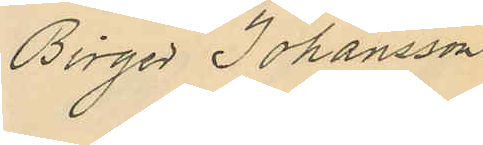Birger Johansson
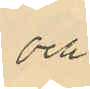och
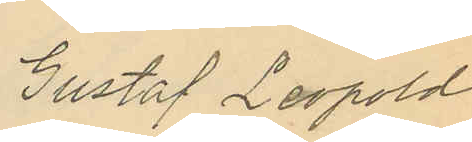Gustaf Leopold
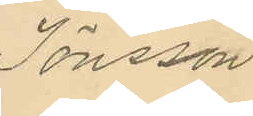Jönsson
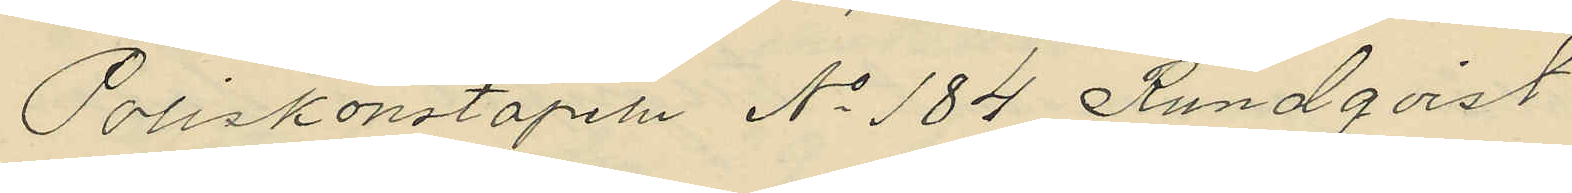Poliskonstapeln No 184 Rundqvist
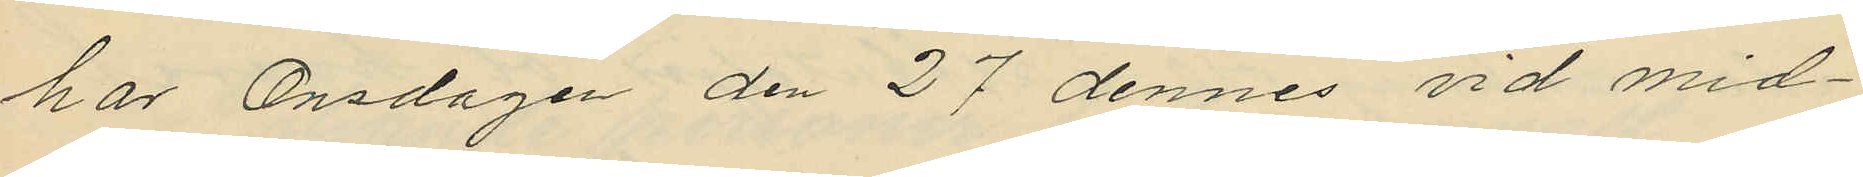har Onsdagen den 27 dennes vid mid¬
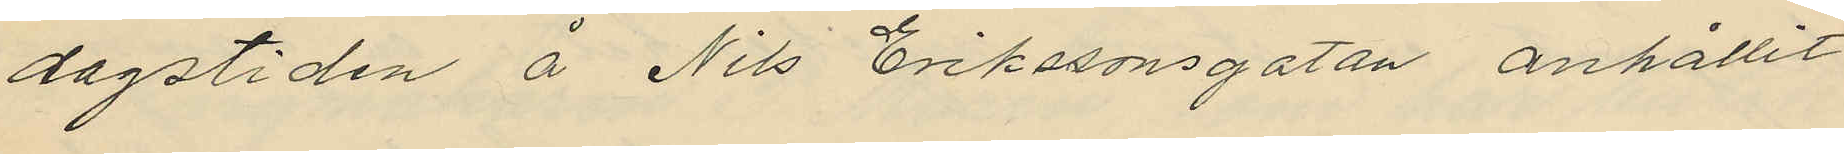dagstiden å Nils Erikssonsgatan anhållit
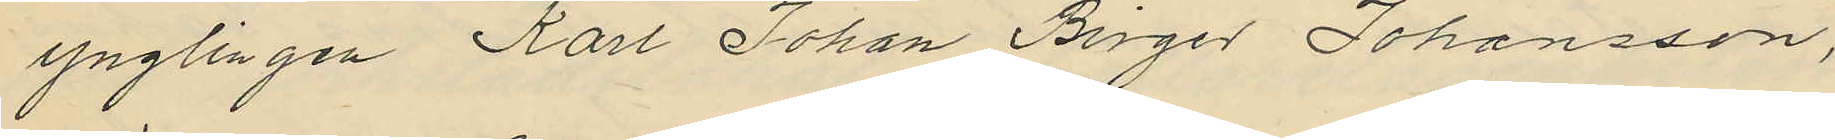ynglingen Karl Johan Birger Johansson,
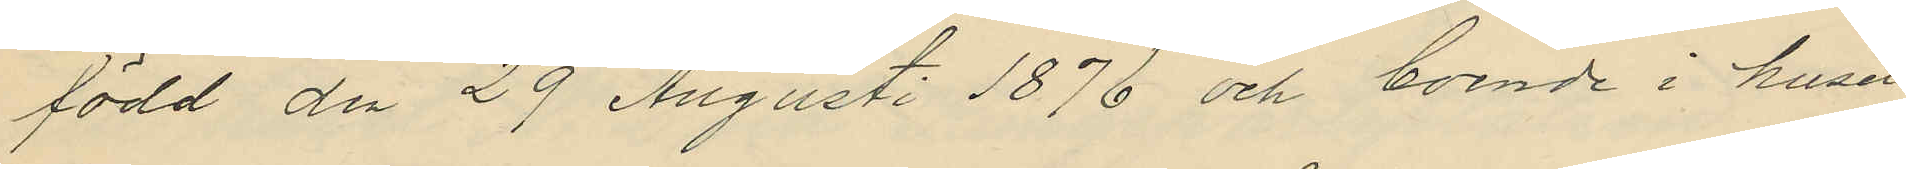född den 29 Augusti 1876 och boende i huset
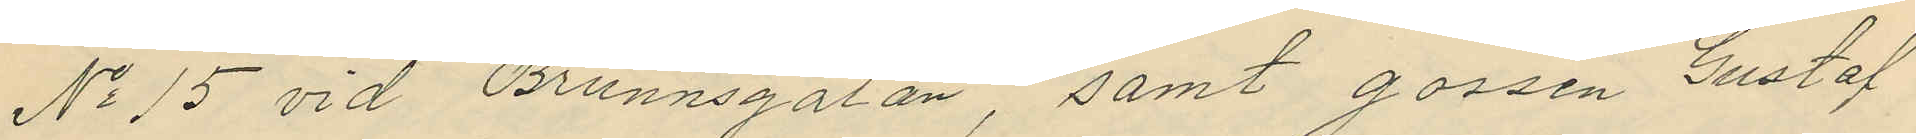No 15 vid Brunnsgatan, samt gossen Gustaf
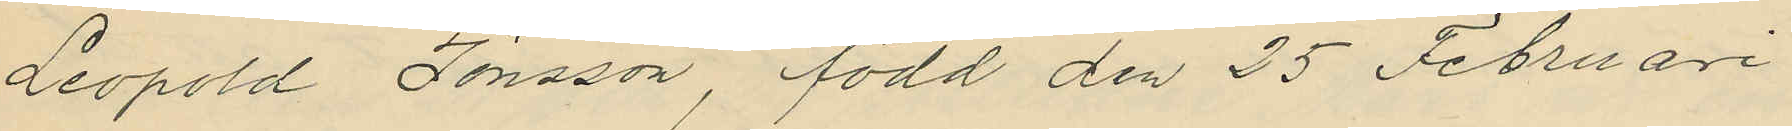Leopold Jönsson, född den 25 Februari
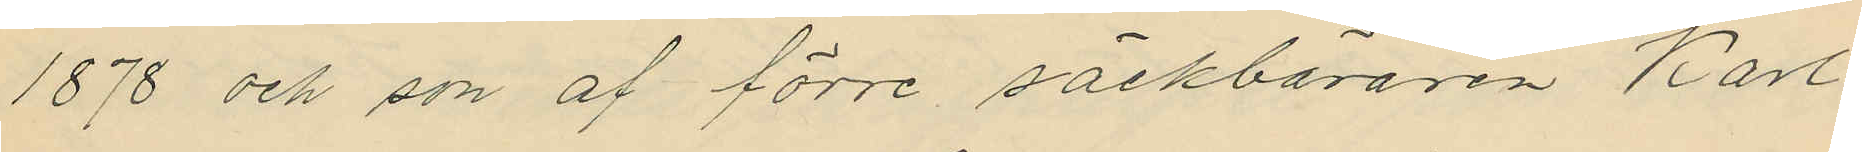1878 och son af förre säckbäraren Karl
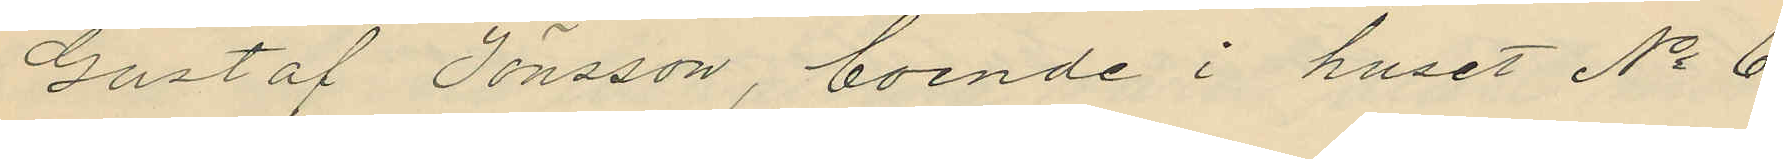Gustaf Jönsson, boende i huset No 6
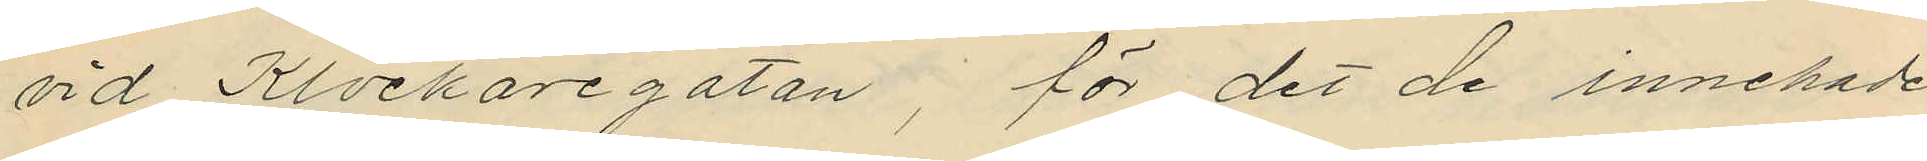vid Klockaregatan, för det de innehade
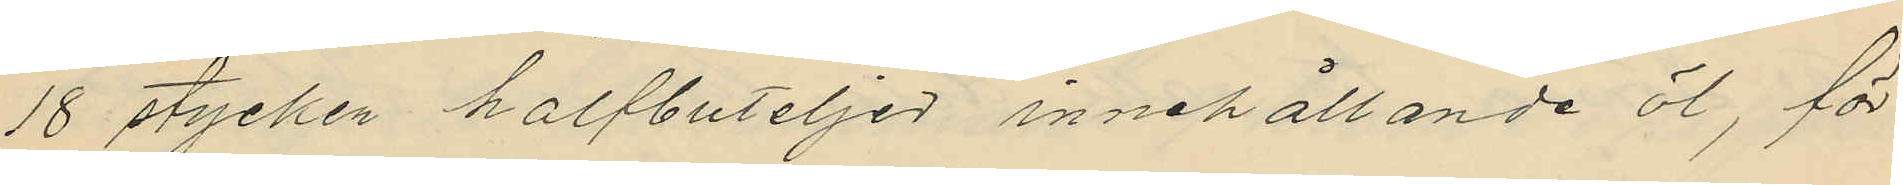18 stycken halfbuteljer innehållande öl, för
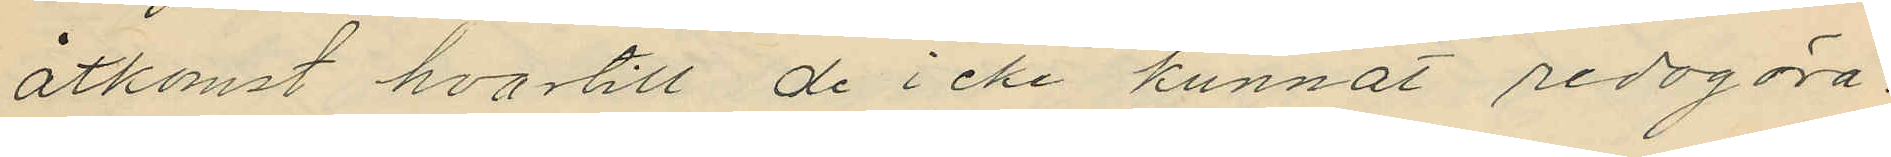åtkomst hvartill de icke kunnat redogöra.
